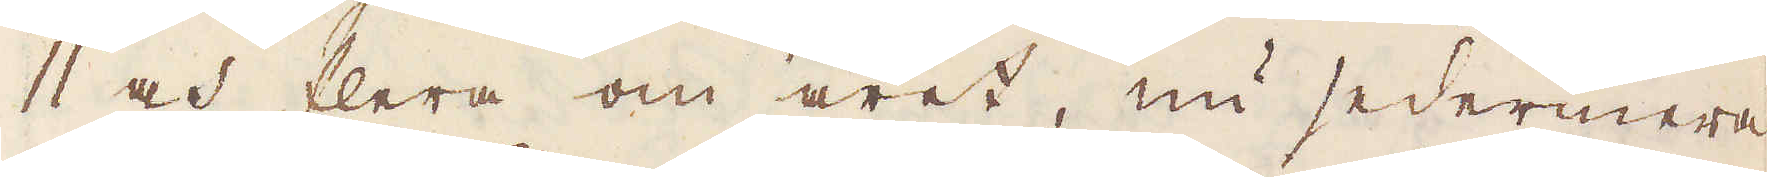11 och flera om året, nu sedermera
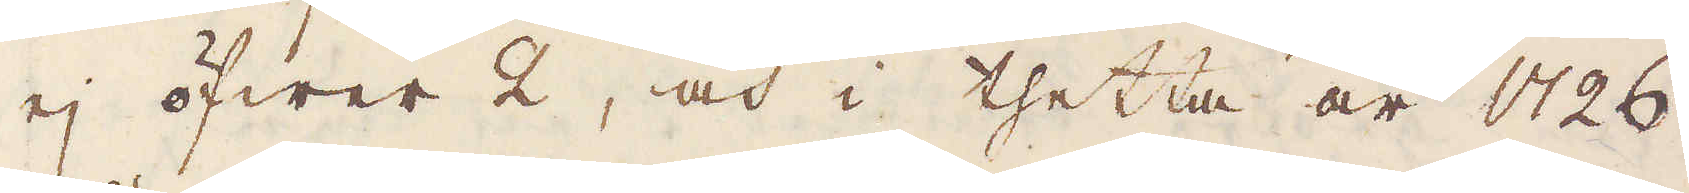ej öfwer 2, och i thetta år 1726
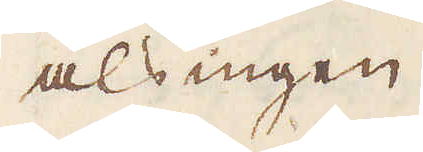als ingen.
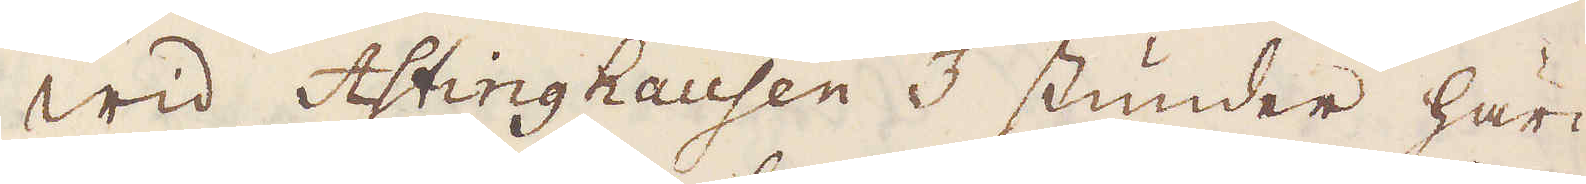Wid Astinghausen 3 stunder här-
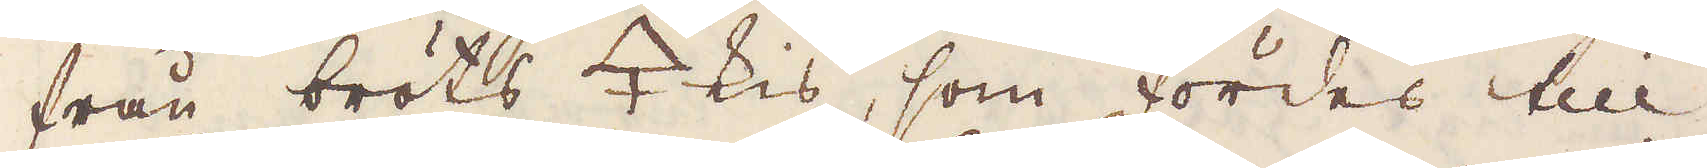från bröts 🜍 kis, som fördes till
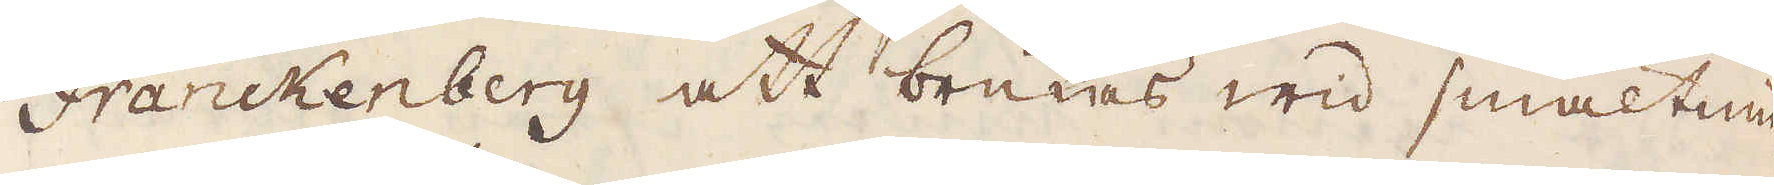Franckenberg att brukes wid smältnin-
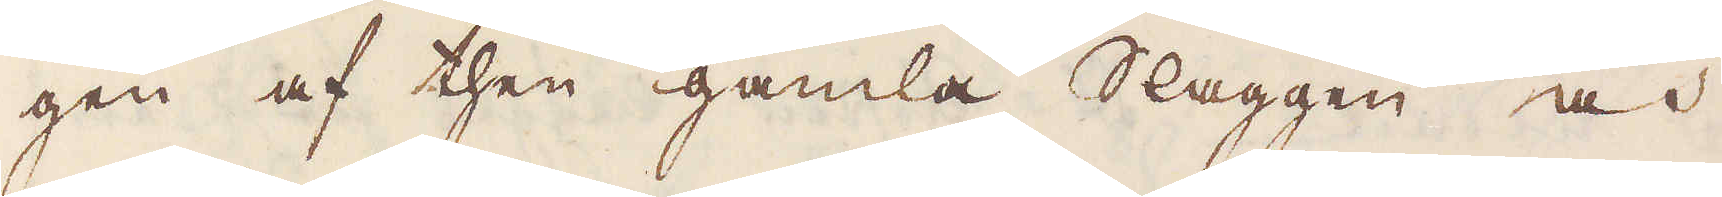gen af then gamla Slaggen och
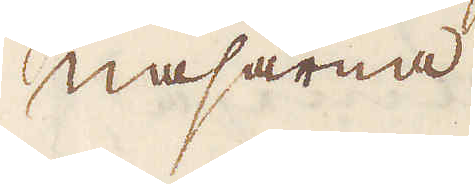Nasarna.
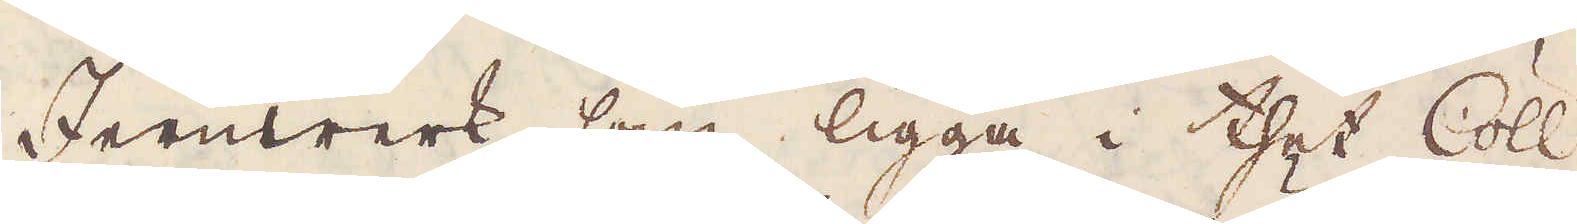Jernwerk, som ligga i thet Cöll-
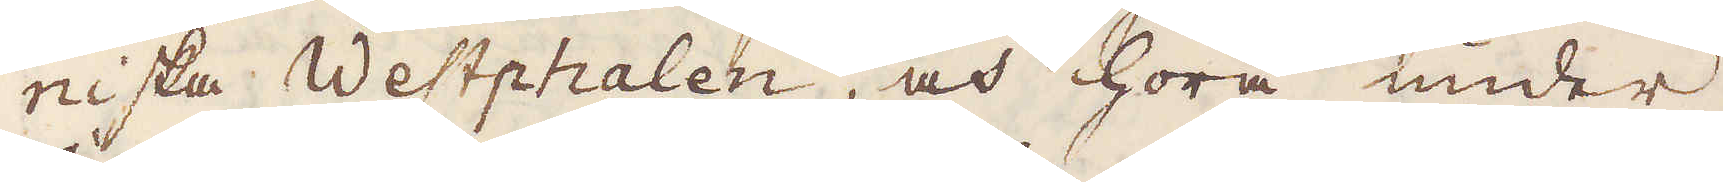niska Westphalen, och höra under
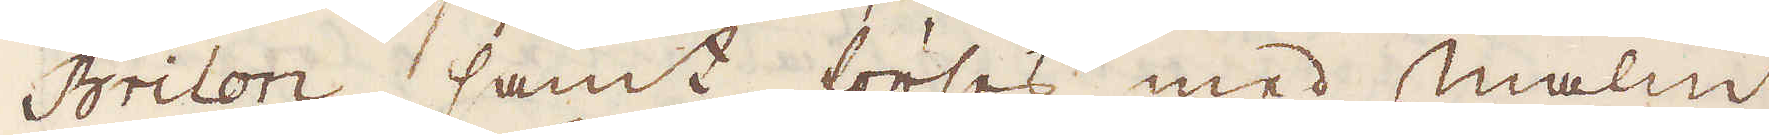Brilon, samt förses med malm
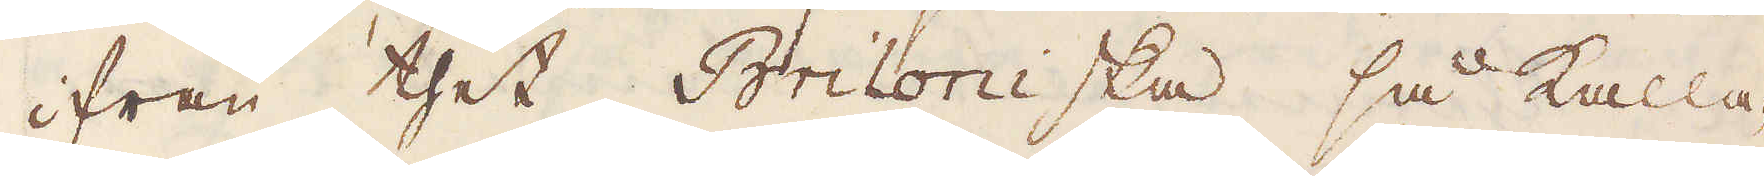ifrån thet Briloniska så kalla-
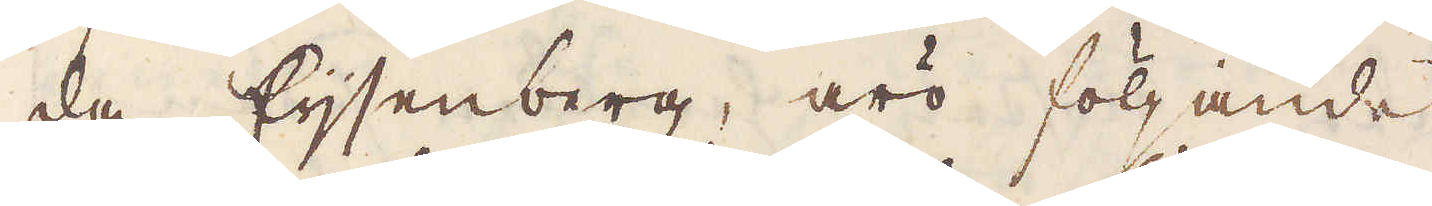da Eijsenberg, äro följande
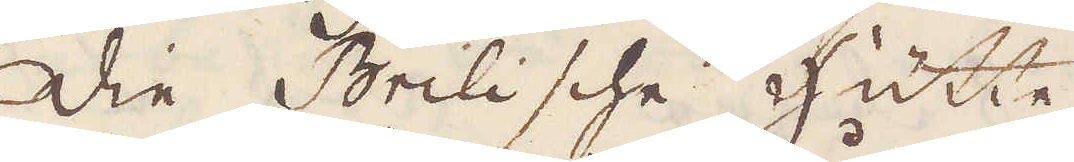1. die Brilische Hütte
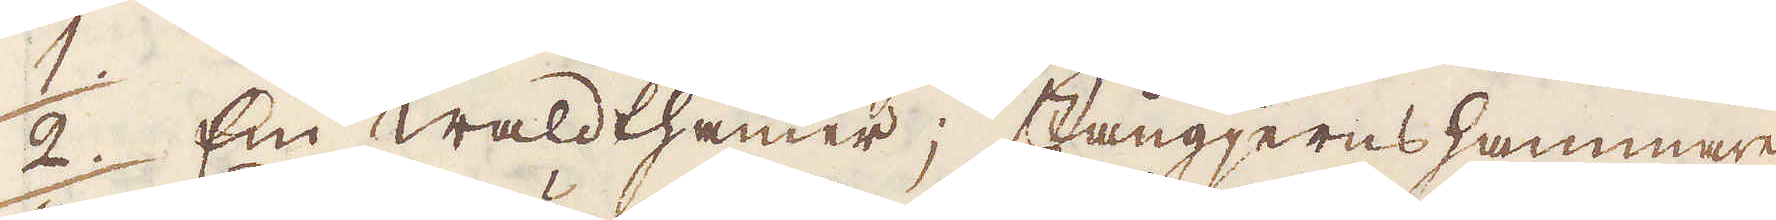2. En Waldthammer; stångjernshammare
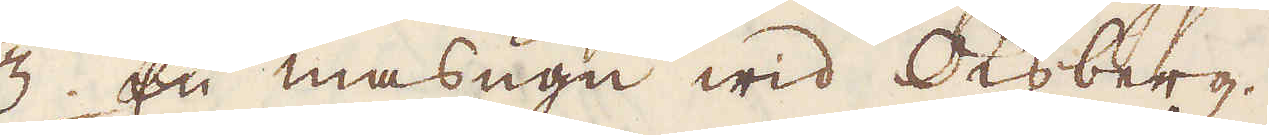3. En masugn wid Oksberg.
